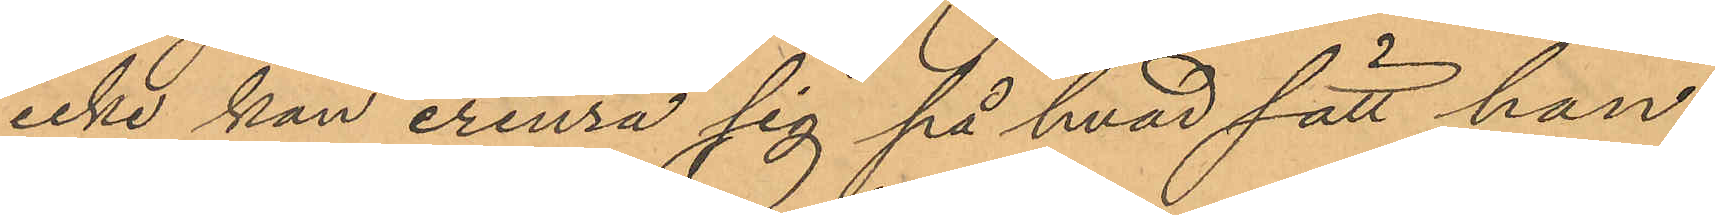icke kan erinra sig på hvad sätt han
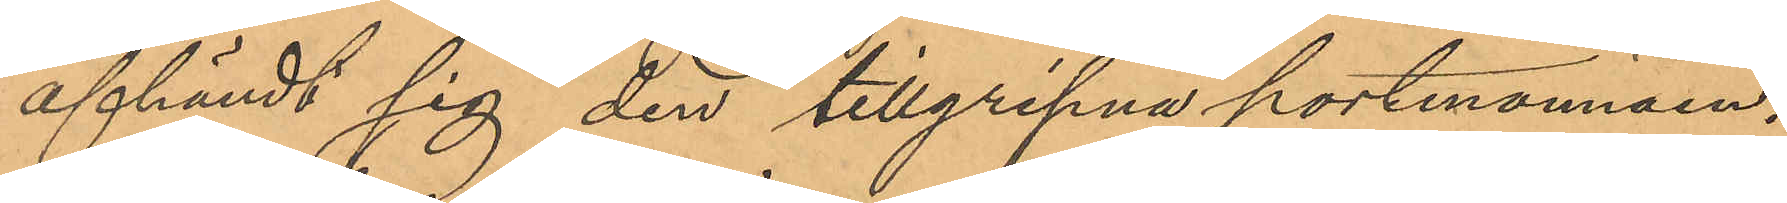afhändt sig den tillgripna portmonnäen.
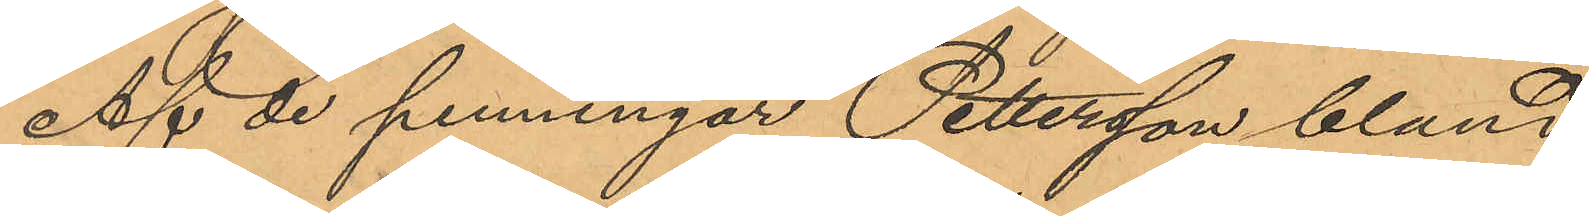Af de penningar Pettersson bland
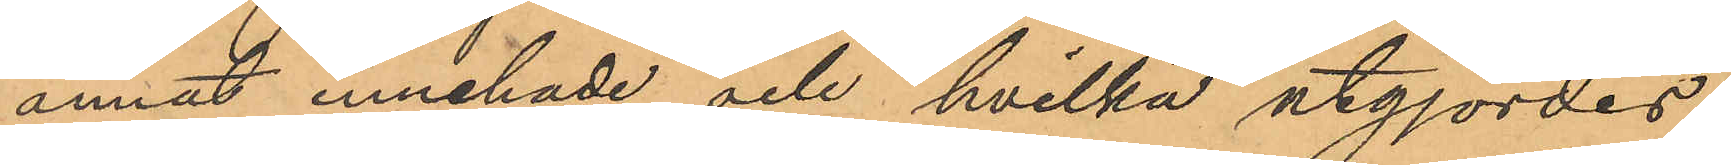annat innehade och hvilka utgjordes
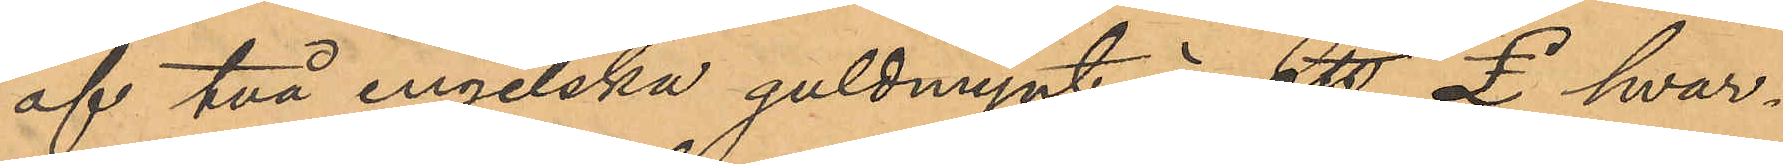af två engelska guldmynt á ett £ hvar¬
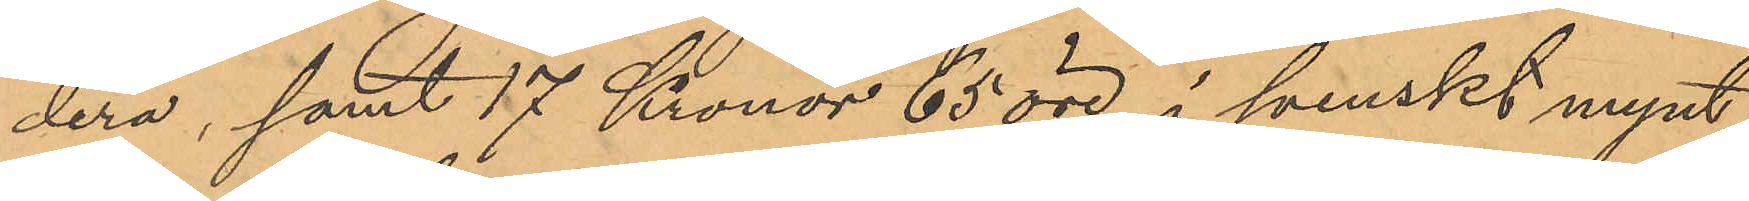dera, samt 17 Kronor 65 öre i svenskt mynt,
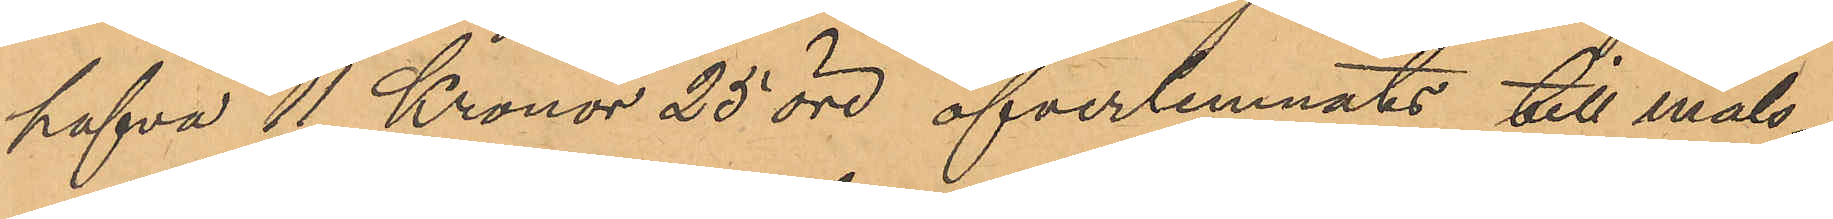hafva 11 Kronor 25 öre öfverlemnats till måls¬
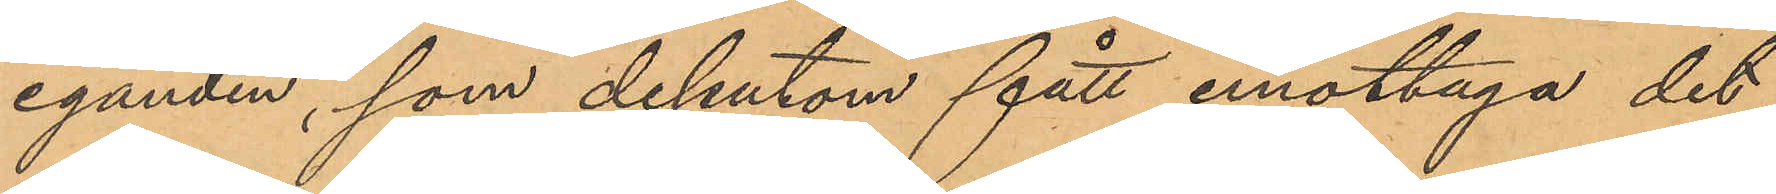eganden, som dessutom fått emottaga det
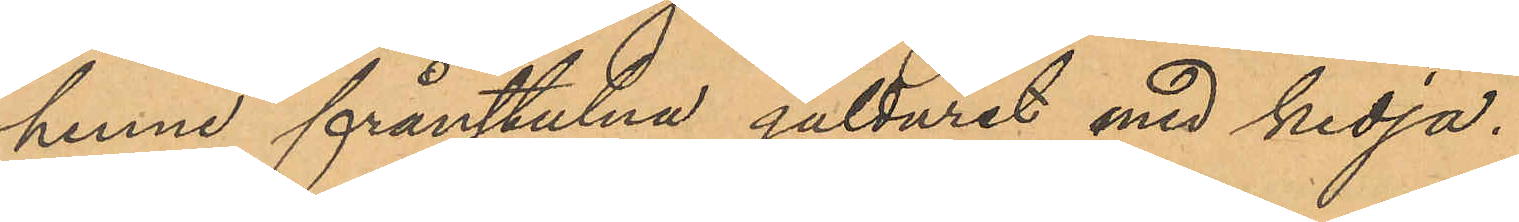henne frånstulna gulduret med kedja.
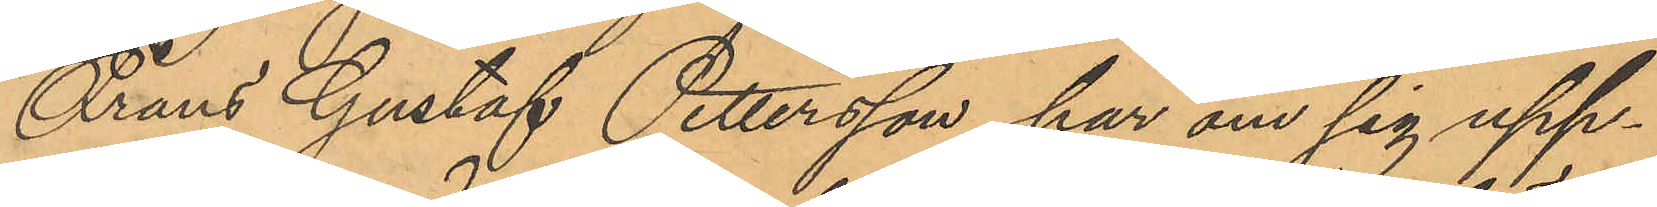Frans Gustaf Pettersson har om sig upp¬
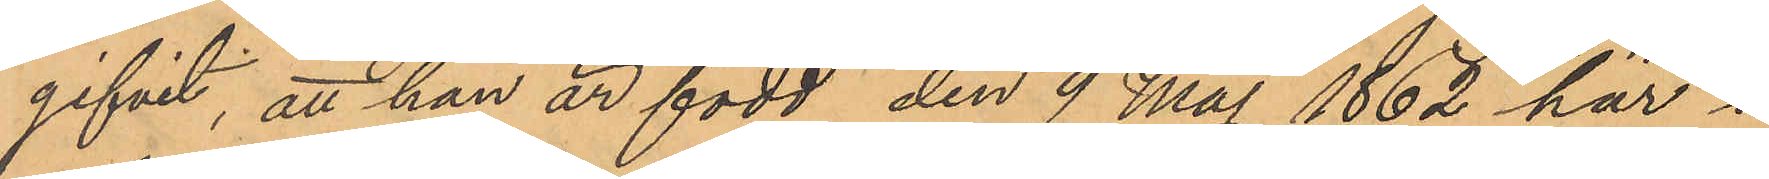gifvit, att han är född den 9 Maj 1862 har i
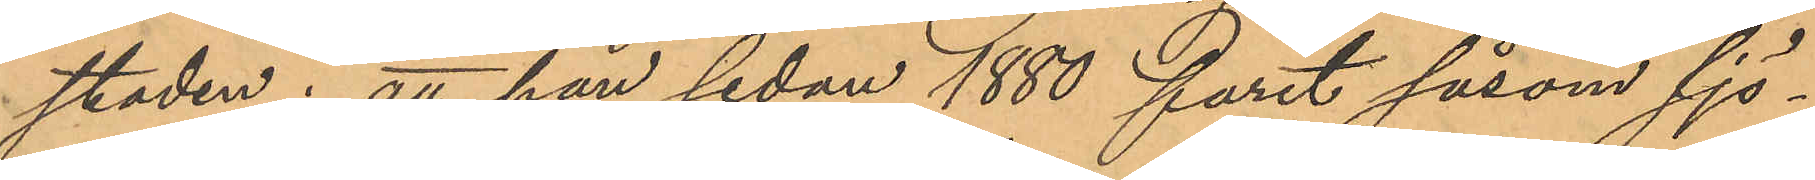staden; att han sedan 1880 farit såsom sjö¬
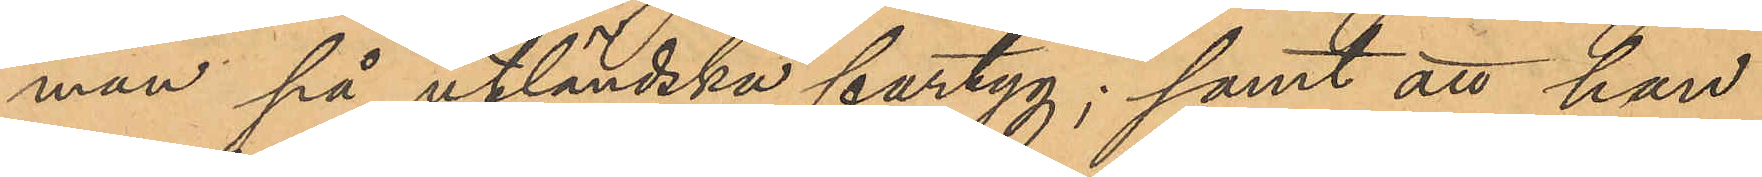man på utländska fartyg; samt att han
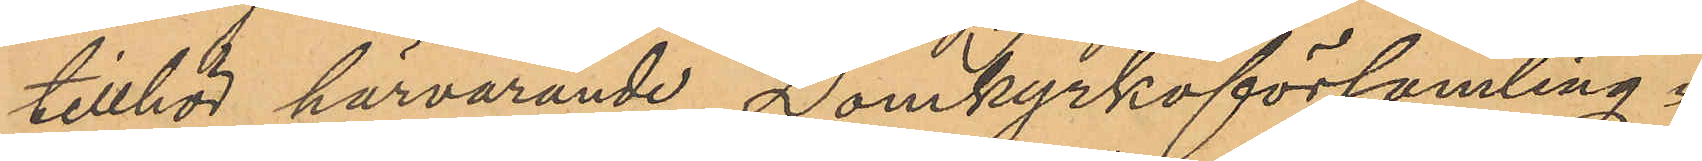tillhör härvarande Domkyrkoförsamling.
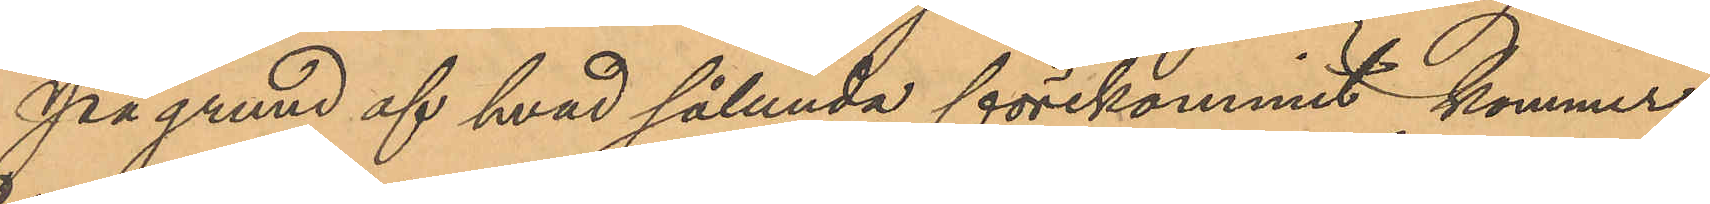På grund af hvad sålunda förekommit kommer
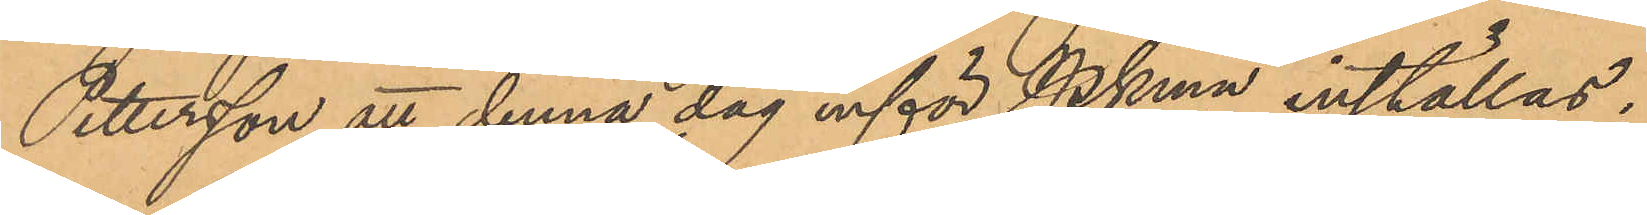Pettersson att denna dag inför PKmn inställas.
